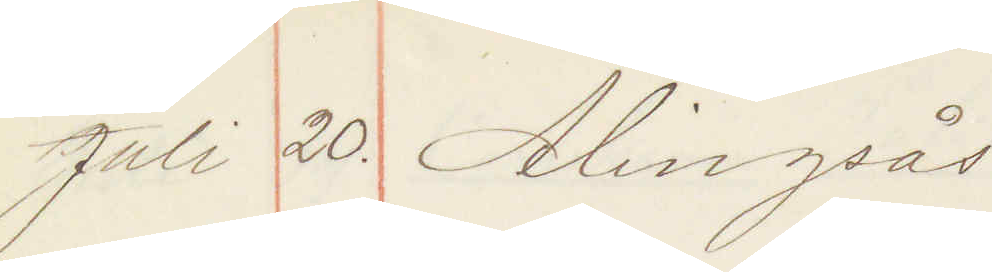Juli 20. Alingsås
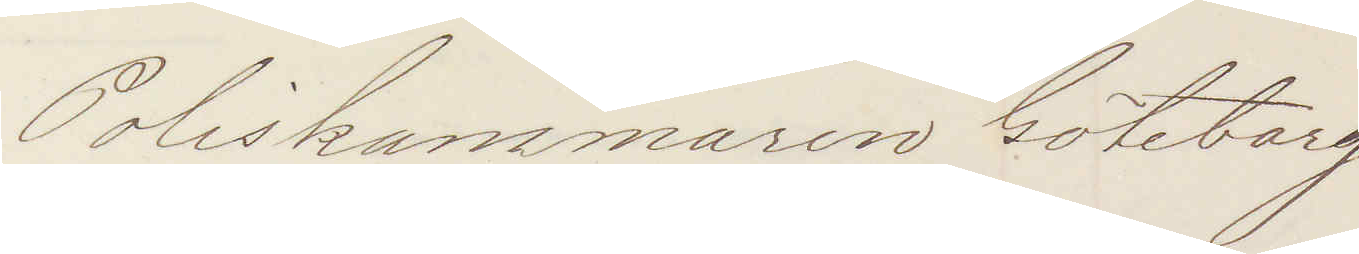Poliskammaren Göteborg
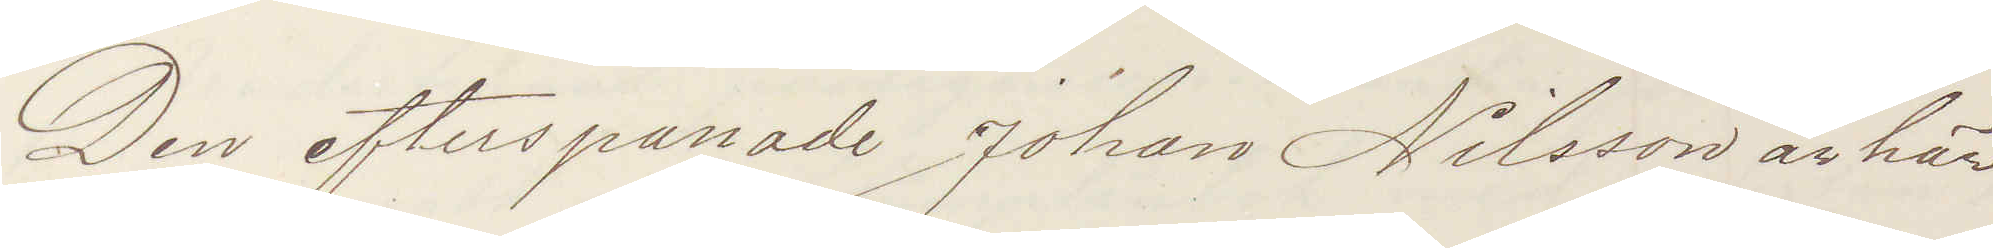Den efterspanade Johan Nilsson är här
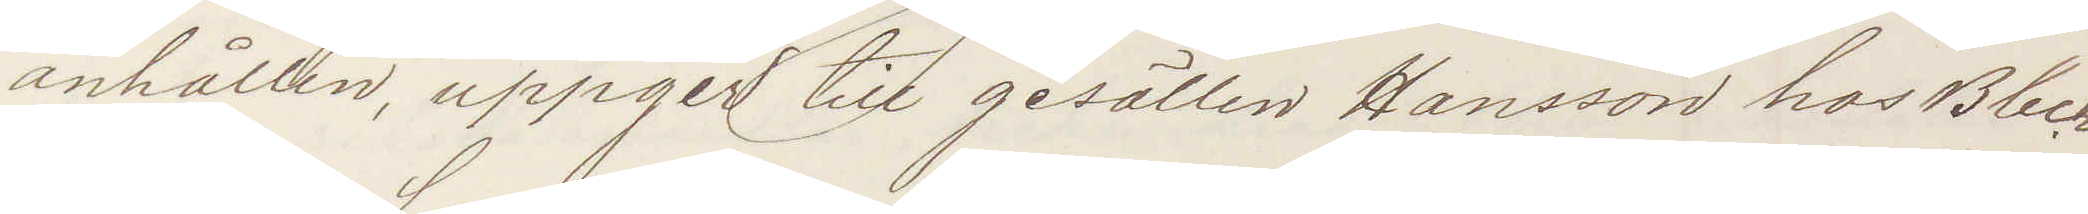anhållen, uppger till gesällen Hansson hos Bleck¬
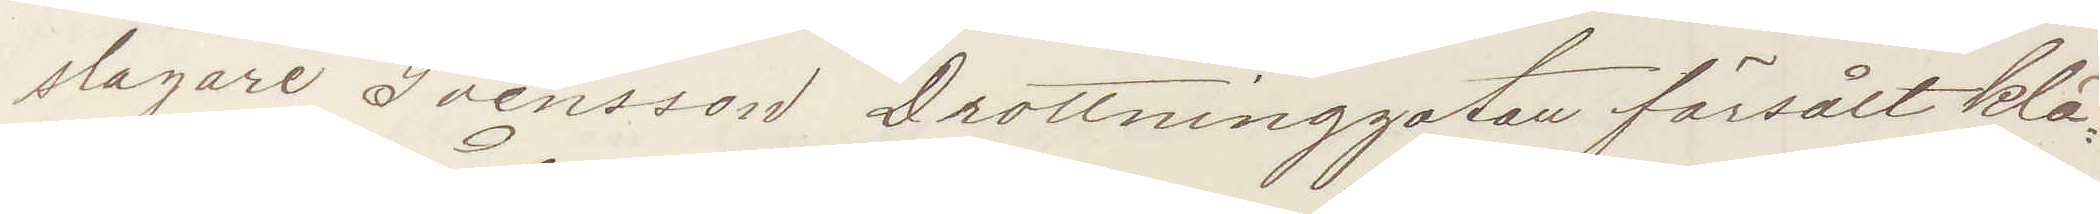slagare Svensson Drottninggatan försålt klä¬
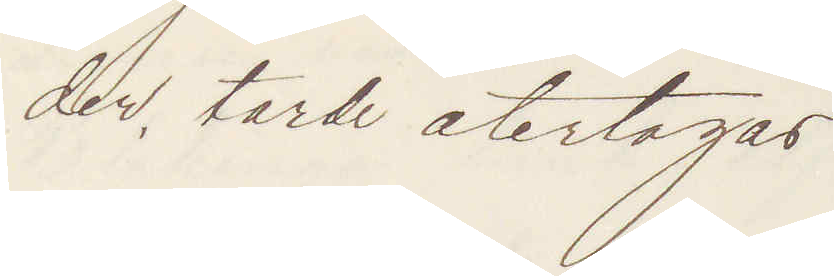der, torde återtagas.
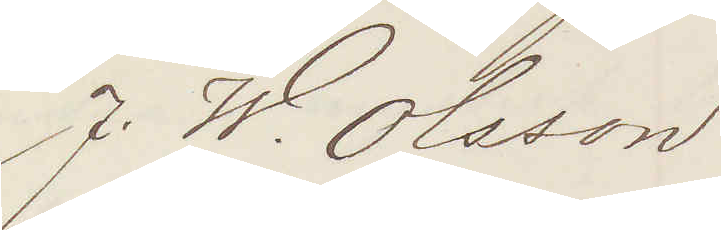J. W. Olsson
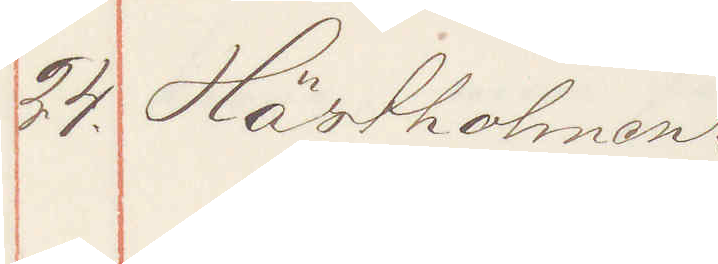24. Hästholmen
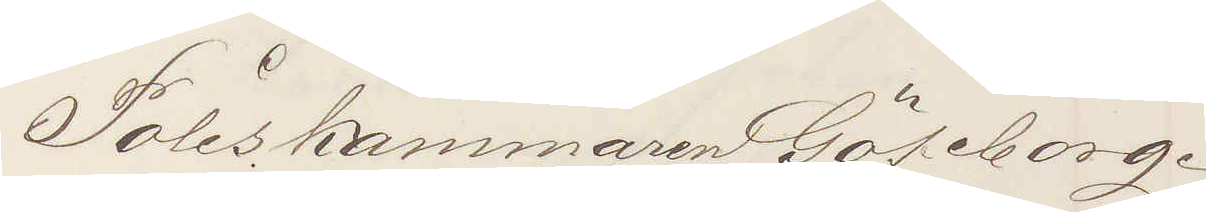Poliskammaren Göteborg.
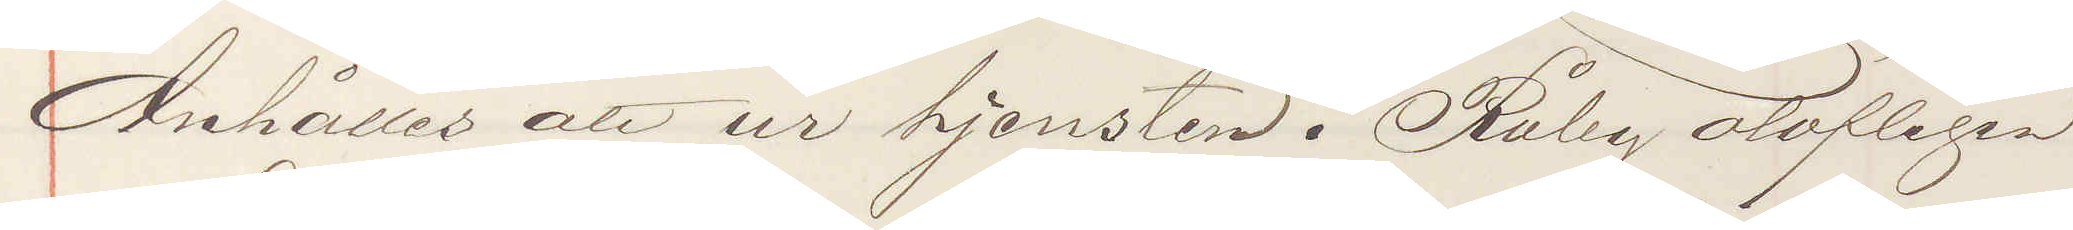Anhåller att ur tjensten i Råby olofligen
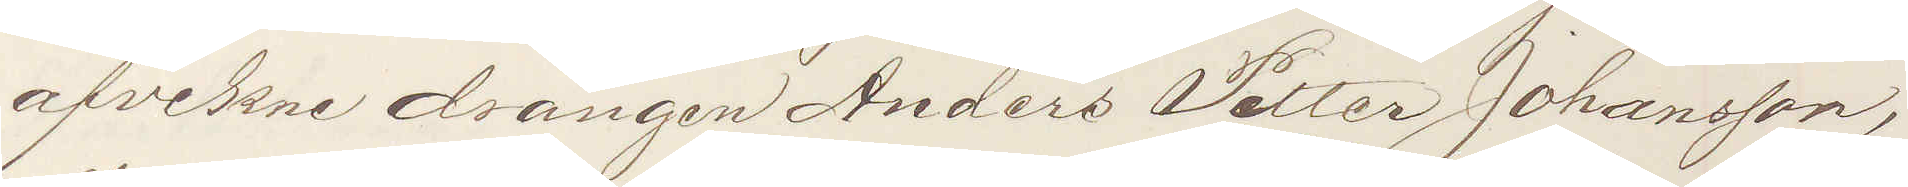afvekne drängen Anders Petter Johansson,
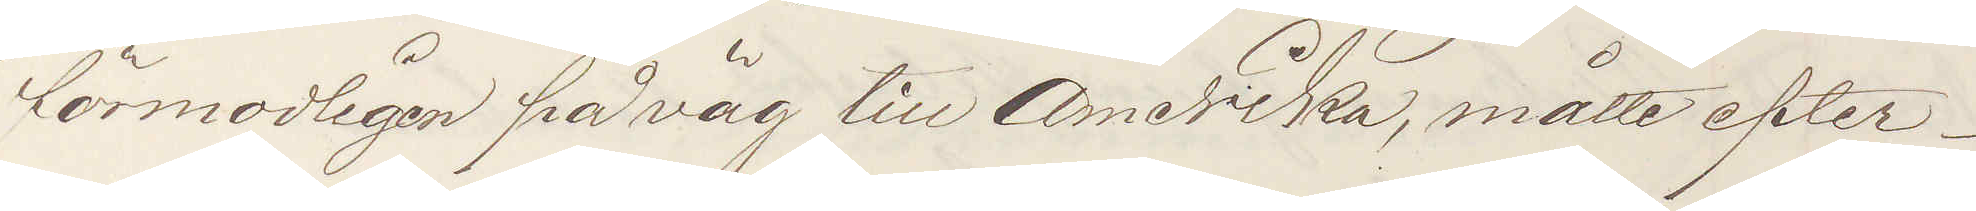förmodligen på väg till Amerika, måtte efter¬
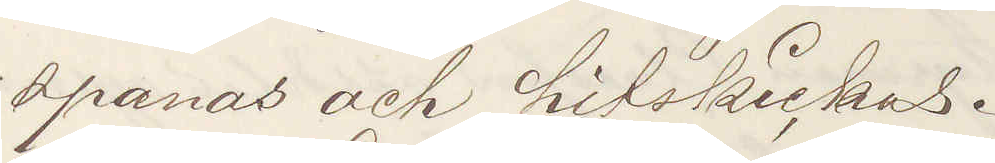spanas och hitskickas.
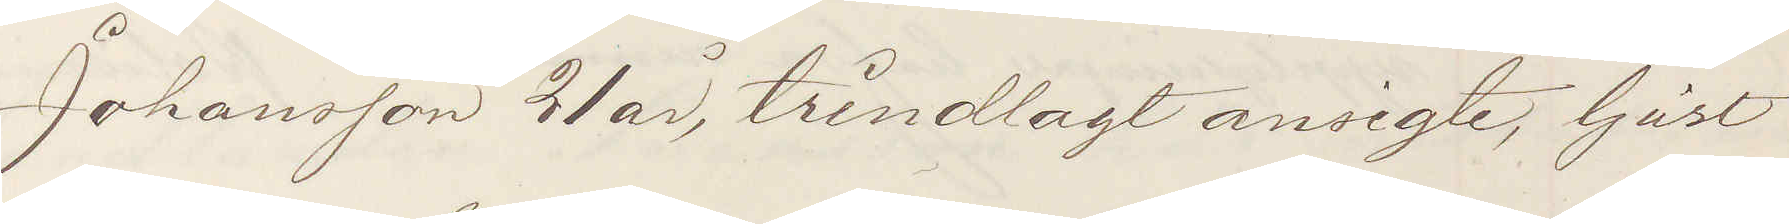Johansson 21 år, trindlagt ansigte, ljust
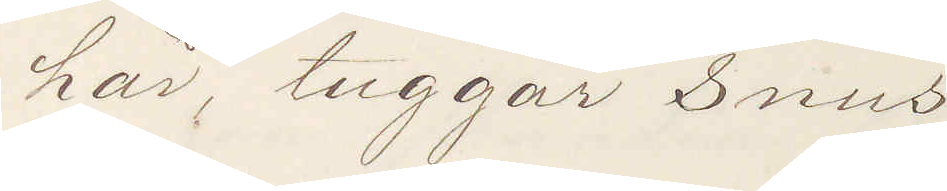hår, tuggar snus
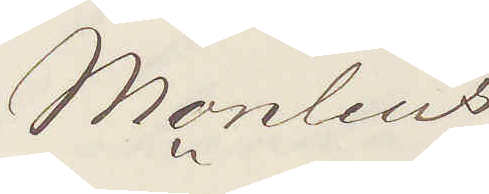Monlius
